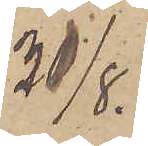31/8.
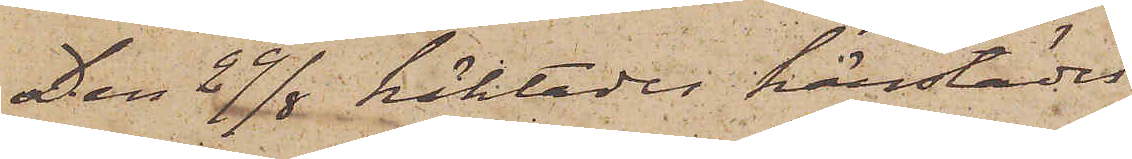Den 29/8 häktades härstädes
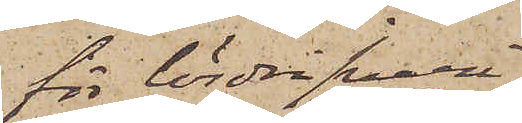för lösdrifveri
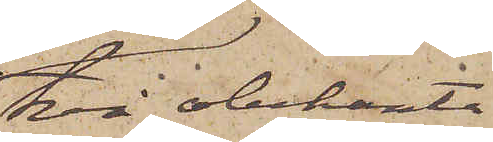två obekanta
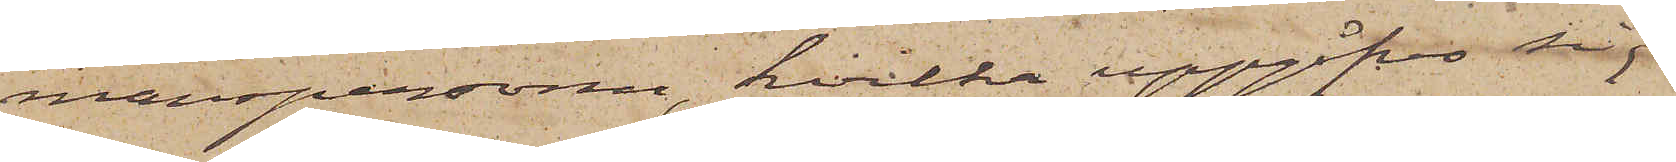manspersoner, hvilka uppgåfvo sig
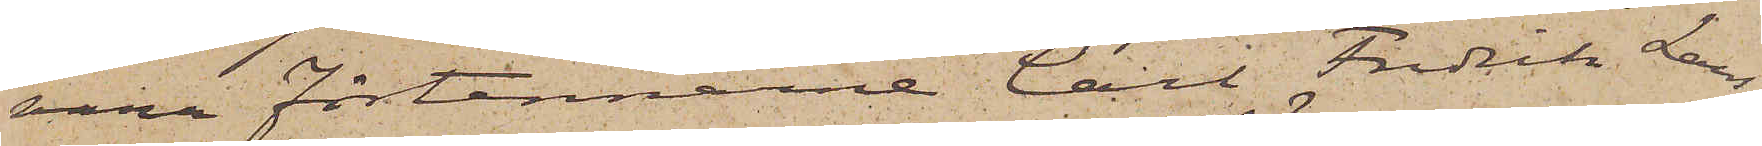vara Förtennarne Carl Fredrik Lars¬
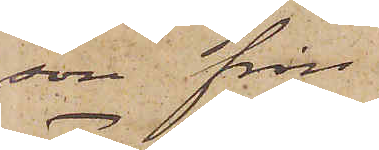son ifrån
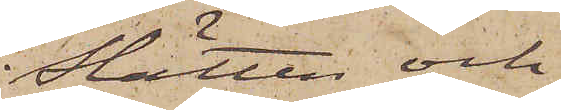Slätten och
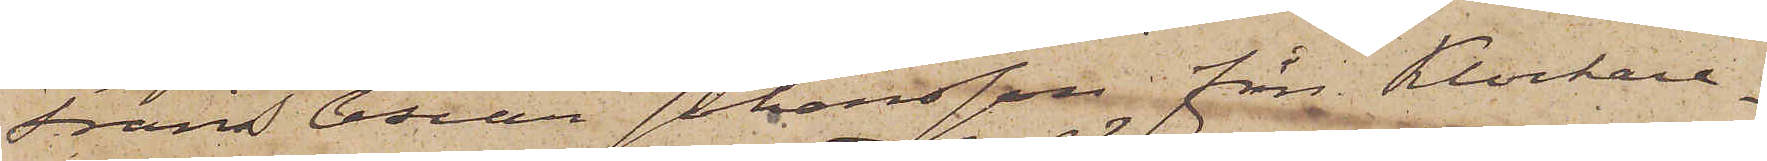Frans Oscar Johansson från Klockare¬
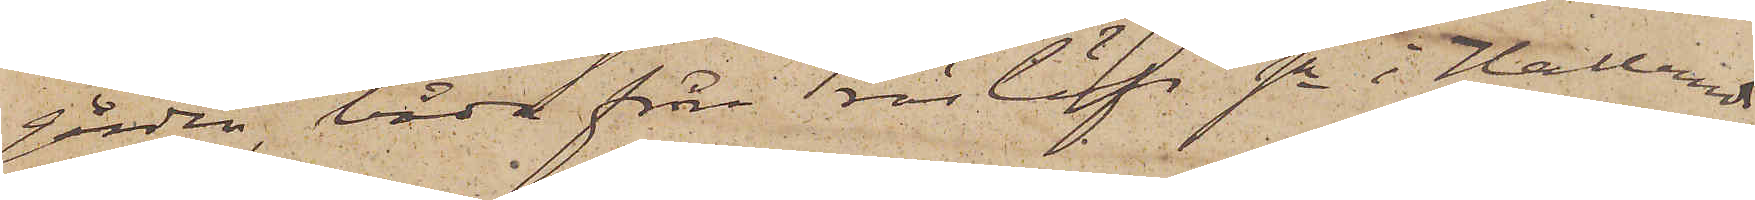gården, båda från Träslöfs sn i Hallands
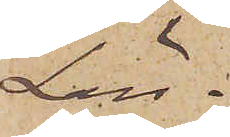Län.
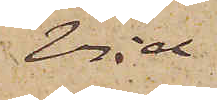Vid
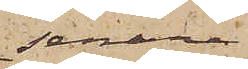senare
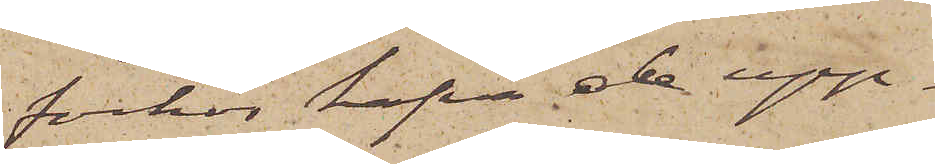förhör hafva de upp¬
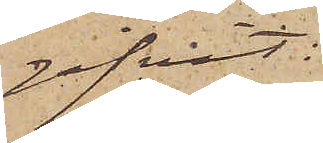gifvit:
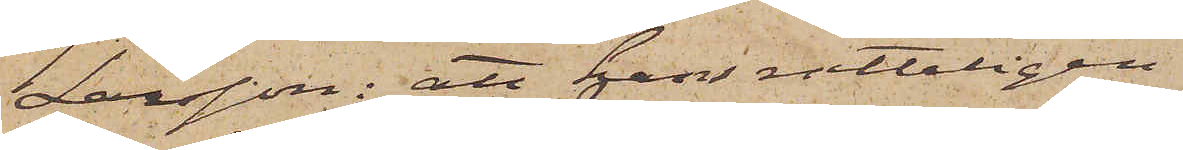Larsson: att han rätteligen
